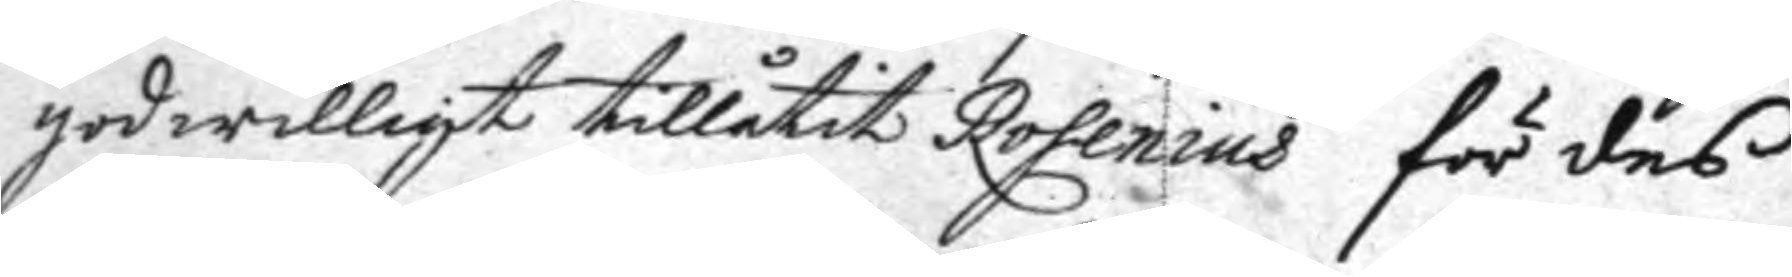godwilligt tillåtit Rosenius för des
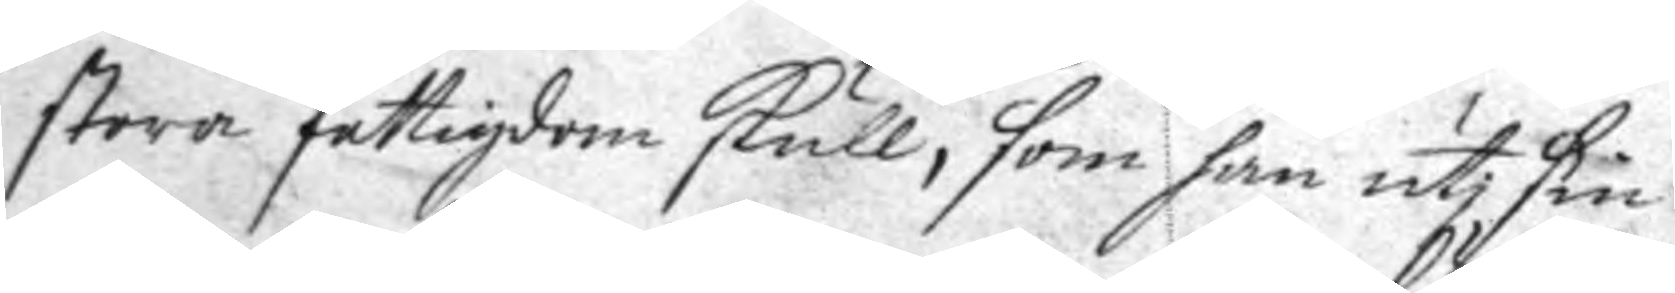stora fattigdom skull, som han uti sin
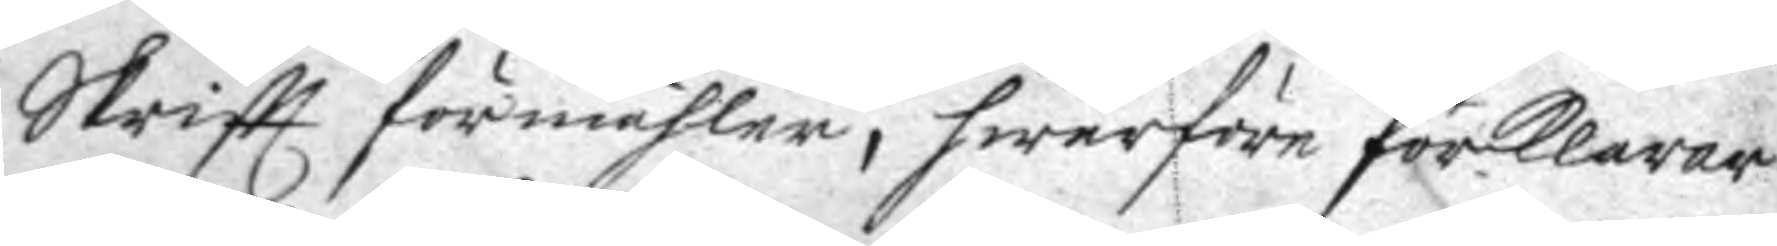Skriftt förmähler, hwarföre förklarar
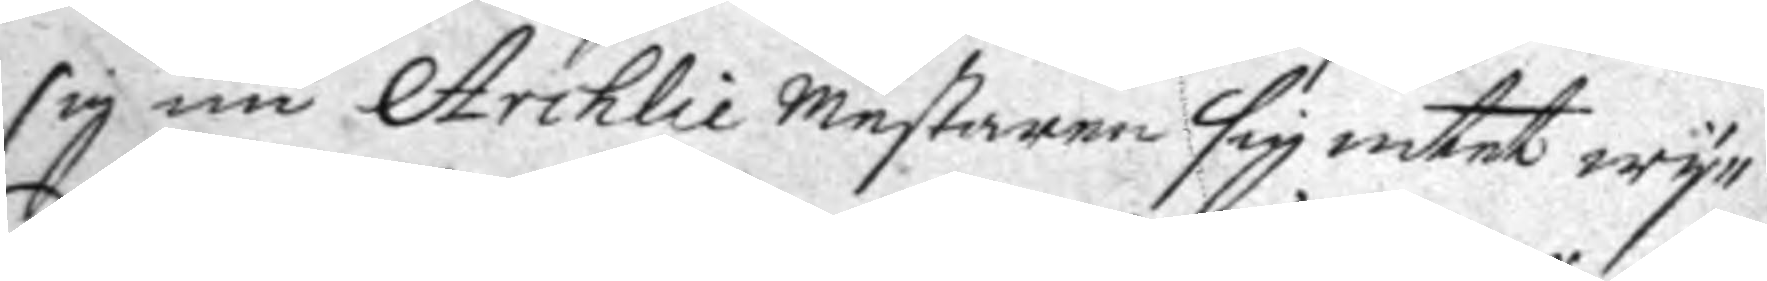sig nu Archlie Mestaren sig intet wy¬
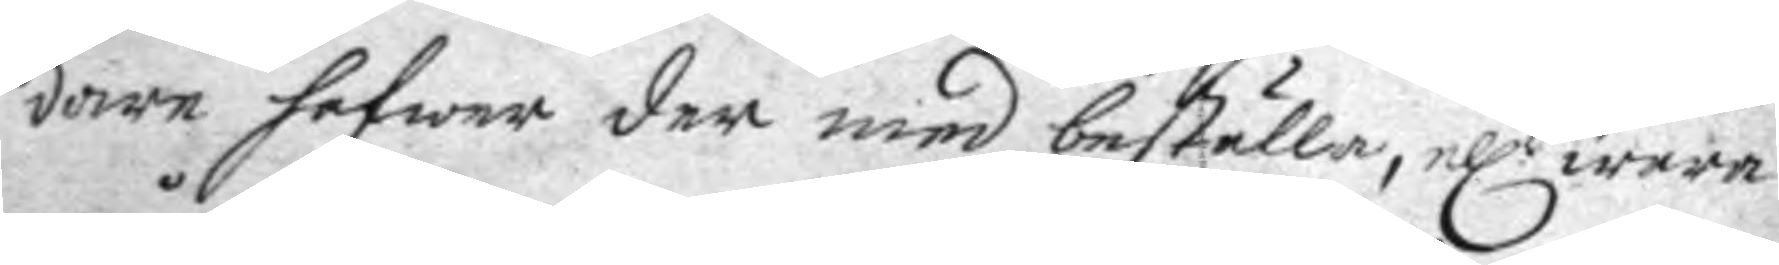dare hafwer der med beställa, ell.r wara
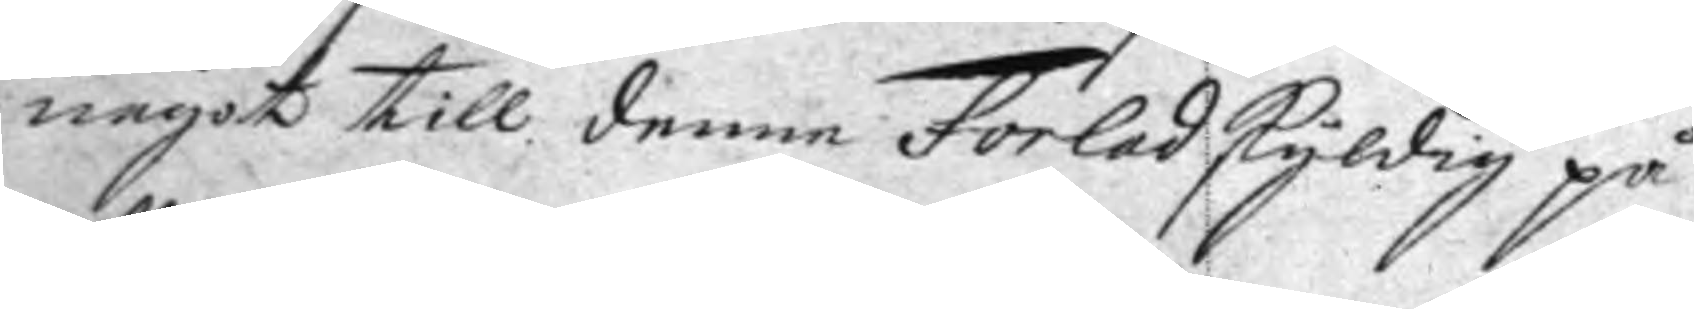något till denne Forled skyldig på
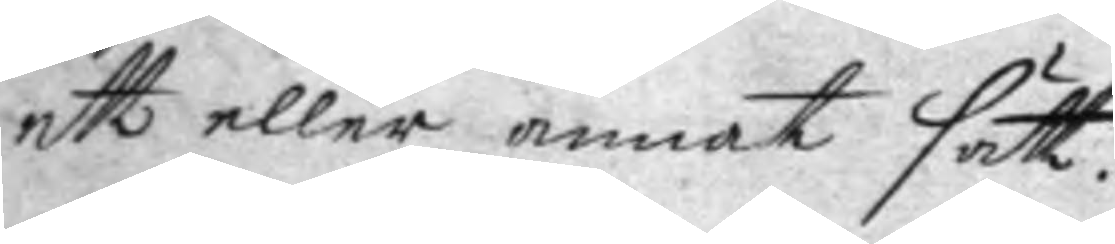ett eller annat sätt.
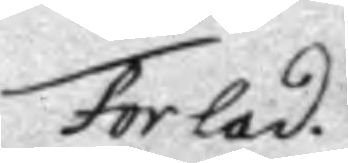Forlad
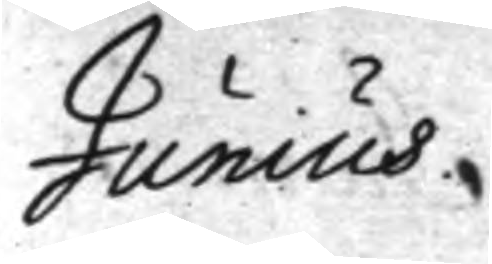Junius.
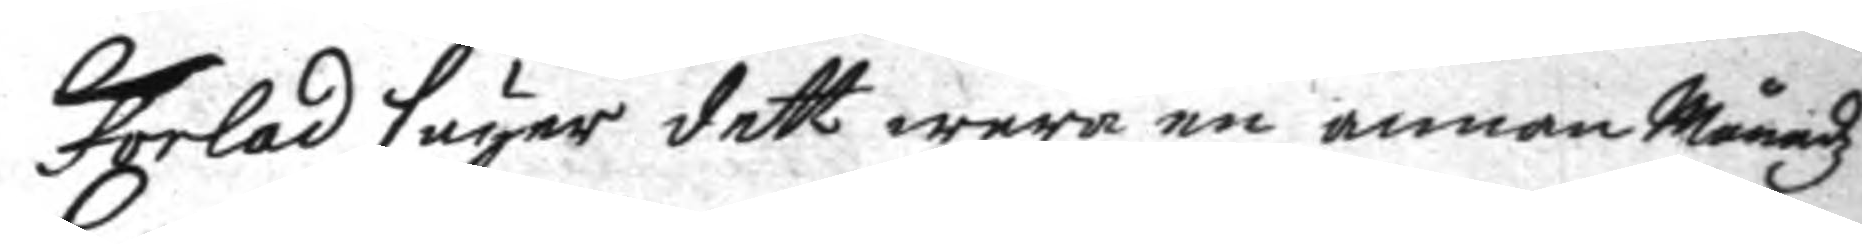Forlad säyer dett wara en annan Månadz
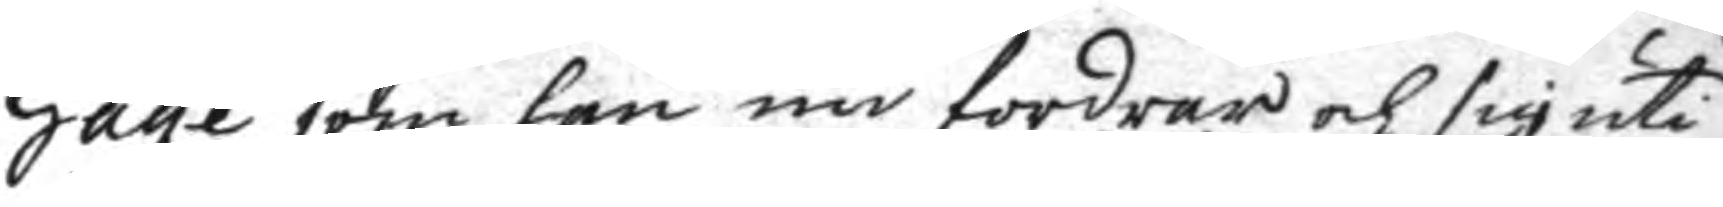Gage som han nu fordrar och sig uti
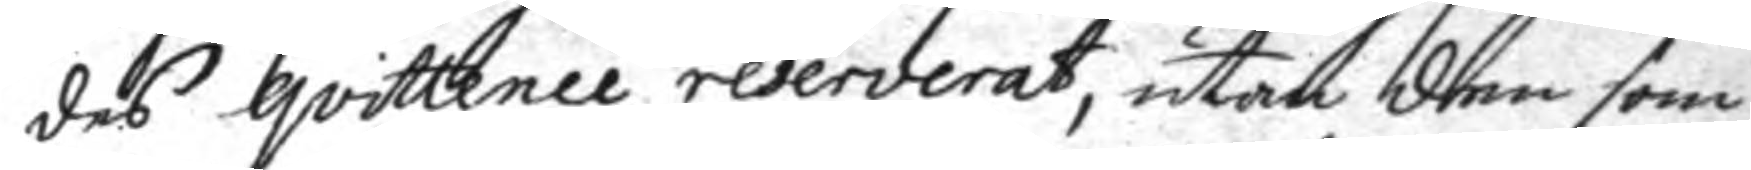des qvittence reserverat, utan dem som
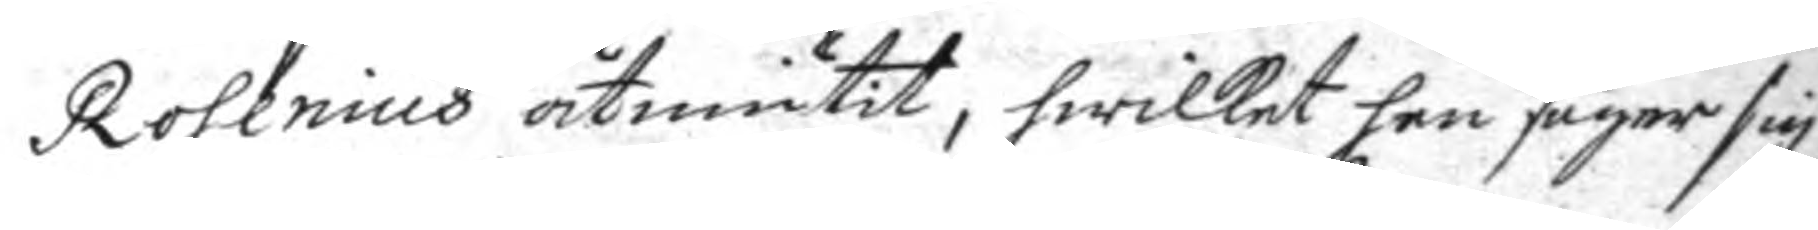Rosenius åtniutit, hwilket han säger sig
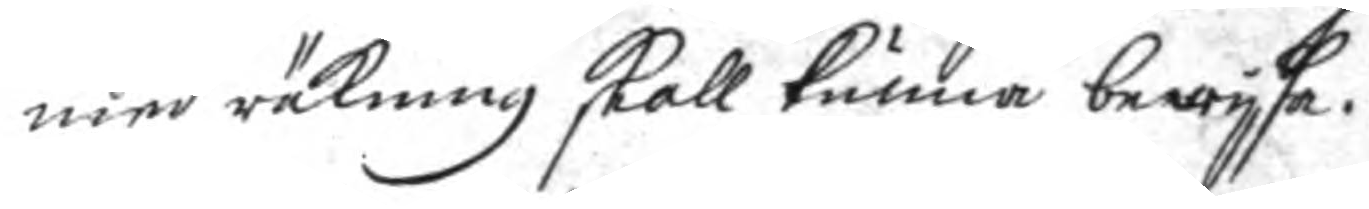med räkning skall kunna bewysa.
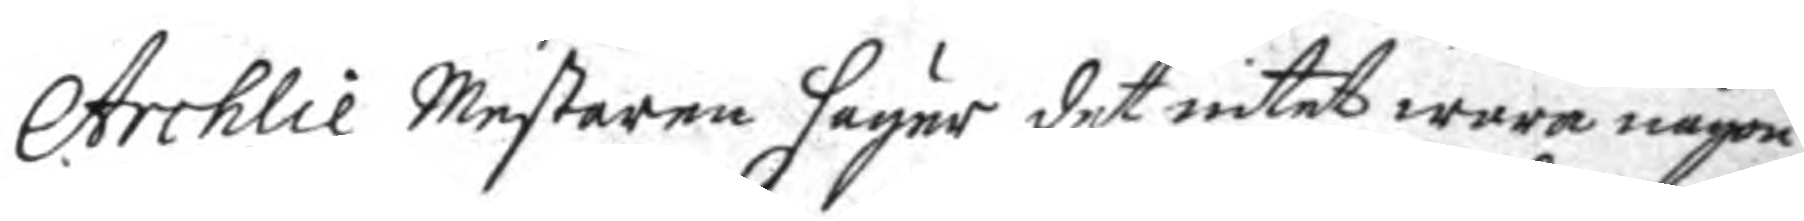Archlie Mestaren säger det intet wara någon
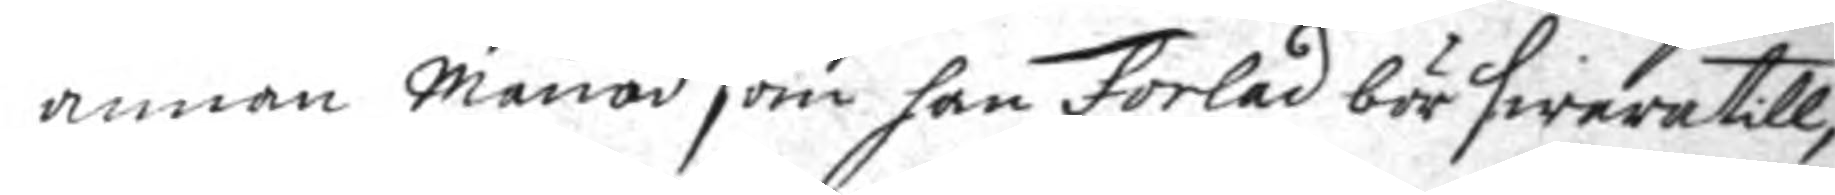annan Månad som han Forlad bör swara till,
